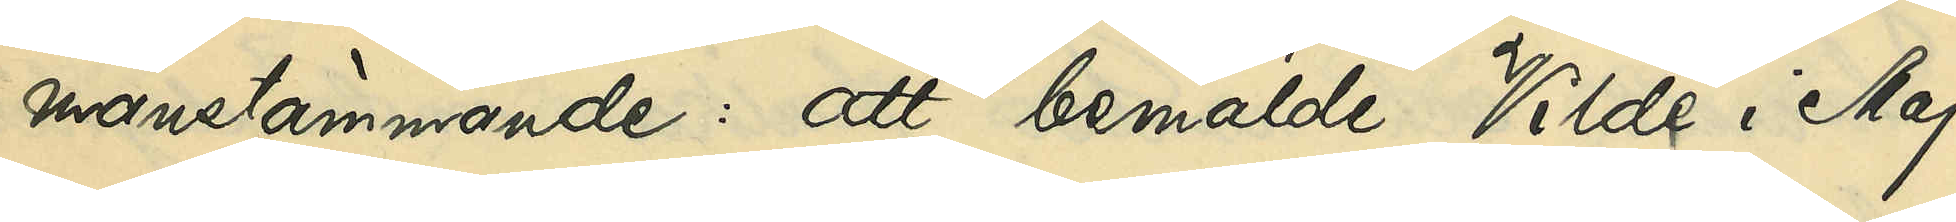manstämmande: att bemälde Vilde i Maj
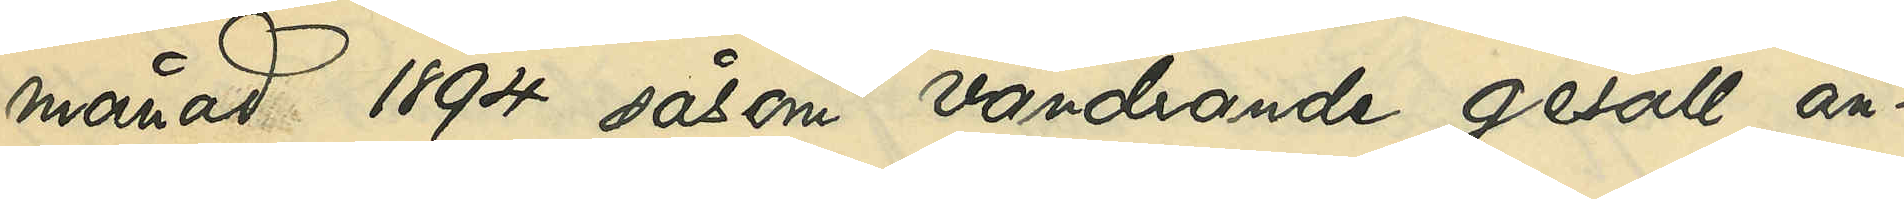månad 1894 såsom vandrande gesäll an¬
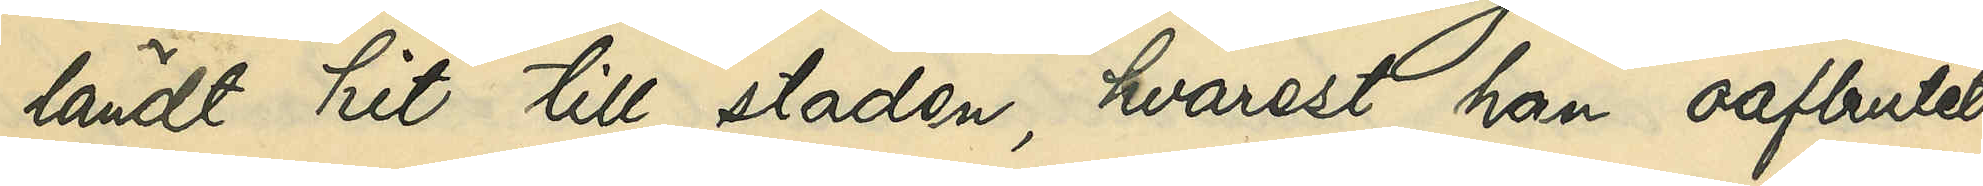ländt hit till staden, hvarest han oafbrutet
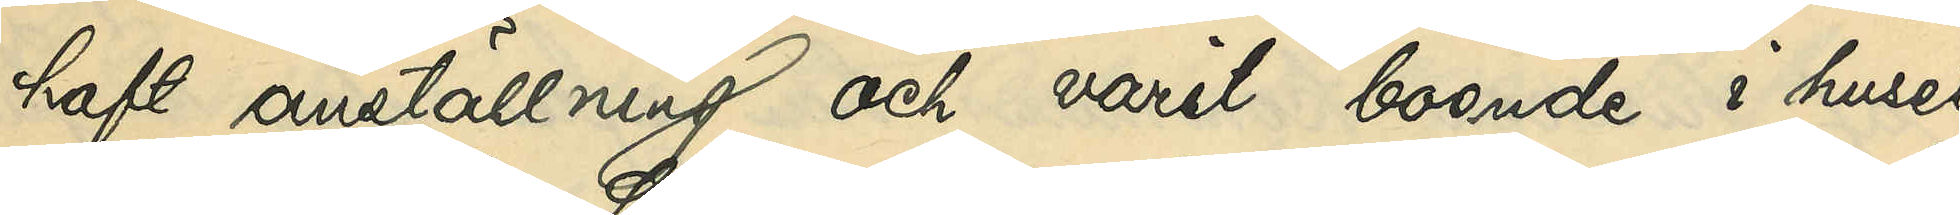haft anställning och varit boende i huset
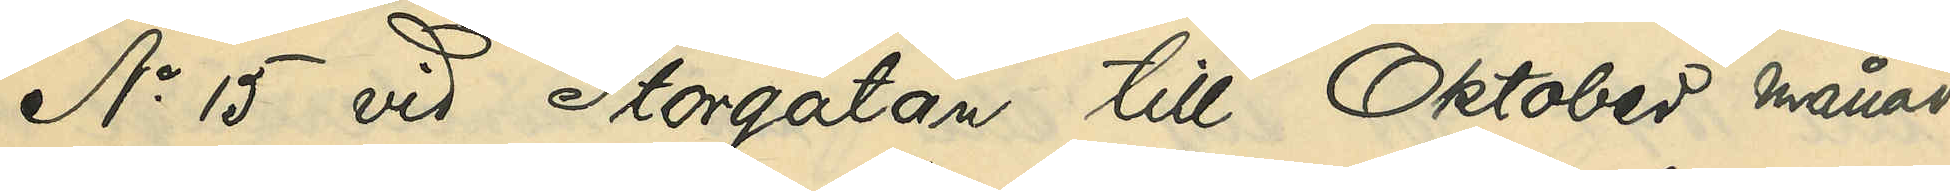No 15 vid Storgatan till Oktober månad
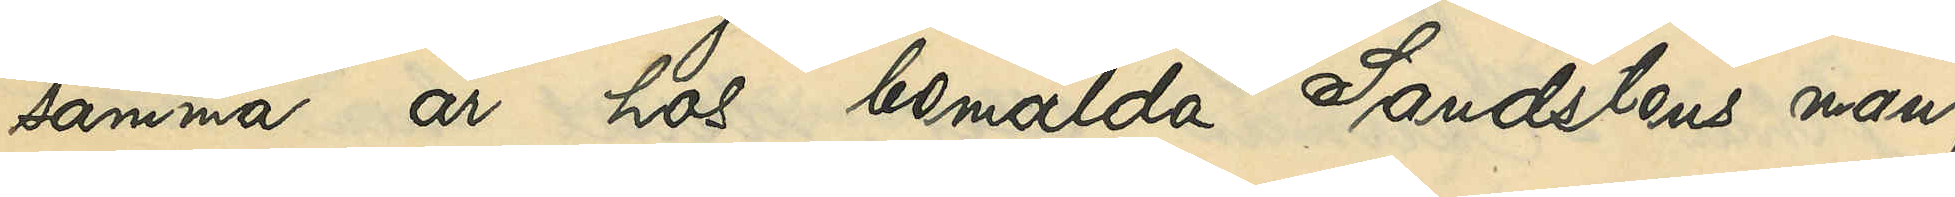samma år hos bemälda Sandstens man,
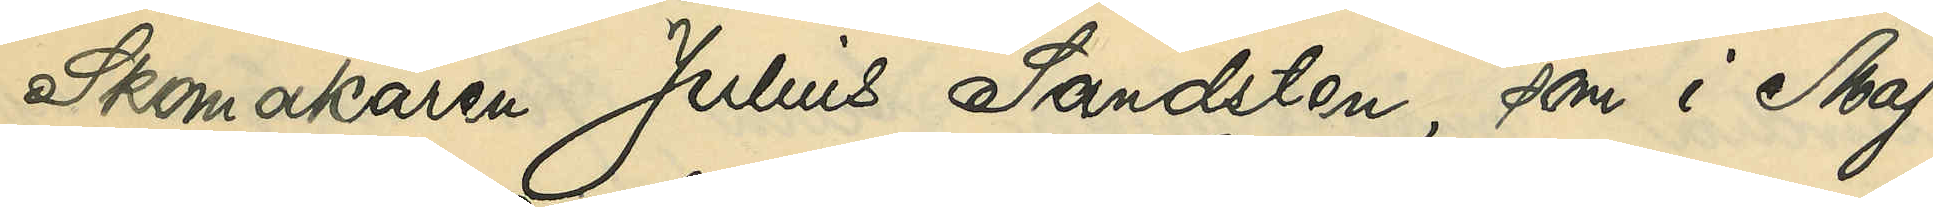Skomakaren Julius Sandsten, som i Maj
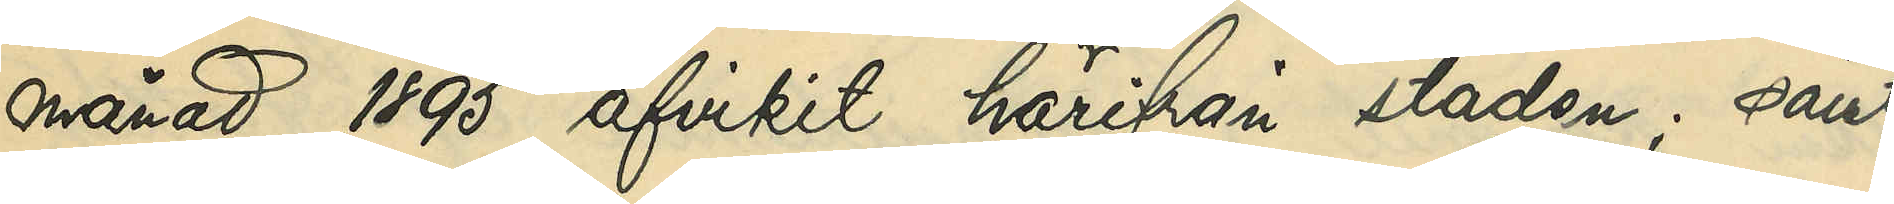månad 1895 afvikit härifrån staden; samt
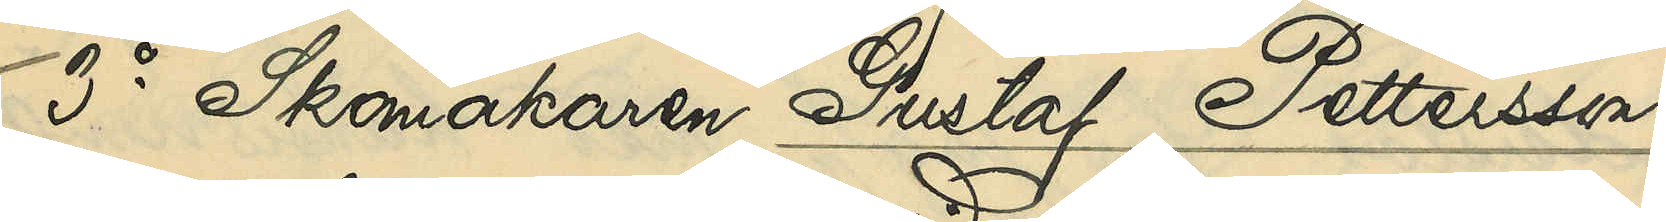3o Skomakaren Gustaf Pettersson,
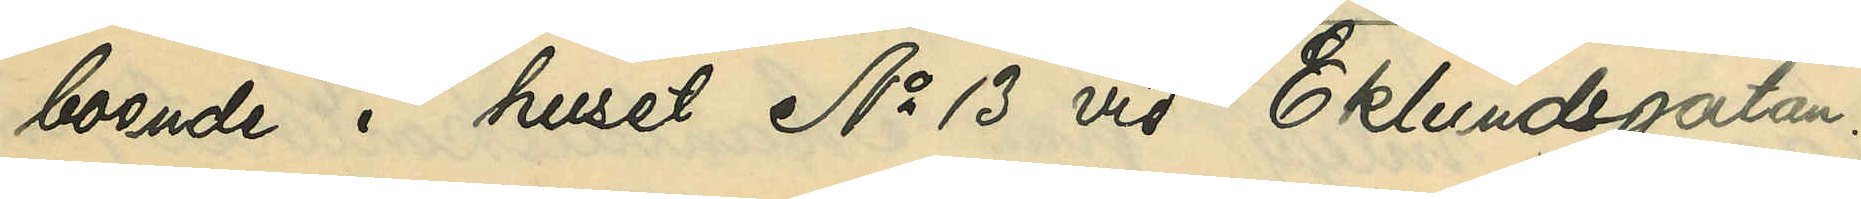boende i huset No 13 vid Eklundsgatan:
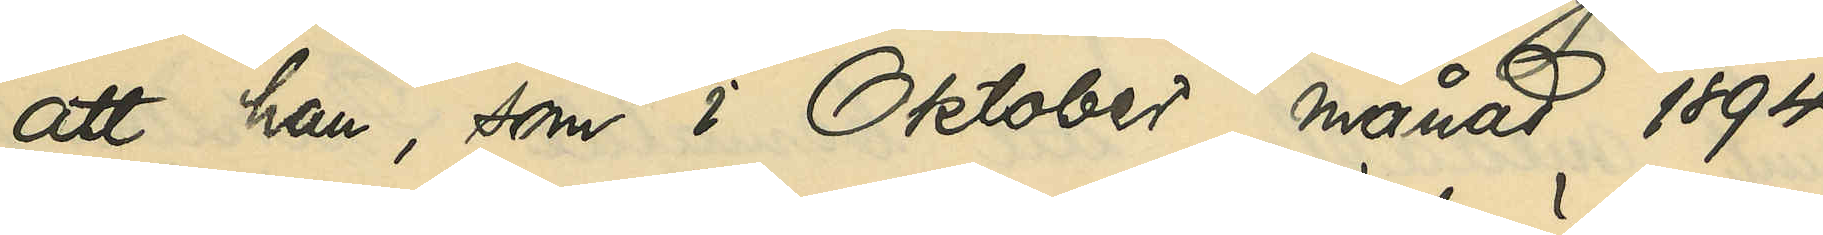att han, som i Oktober månad 1894
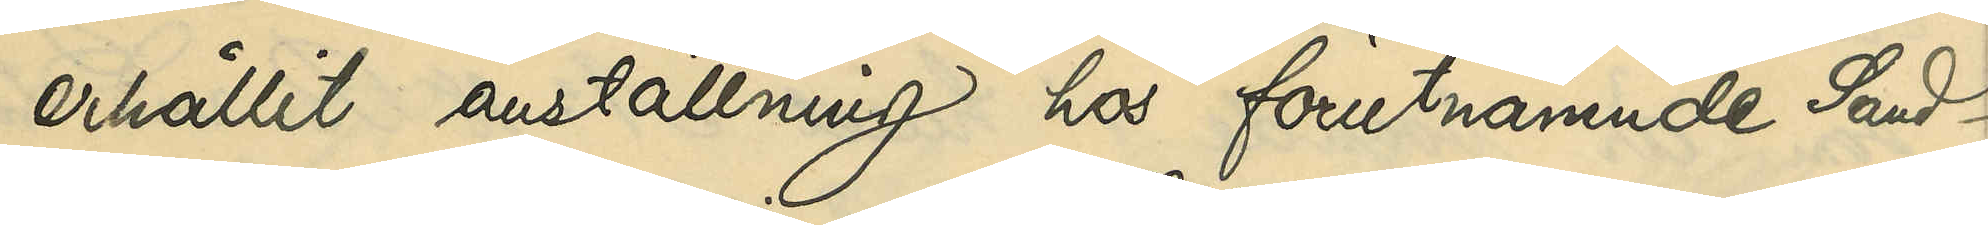erhållit anställning hos förutnämnde Sand¬
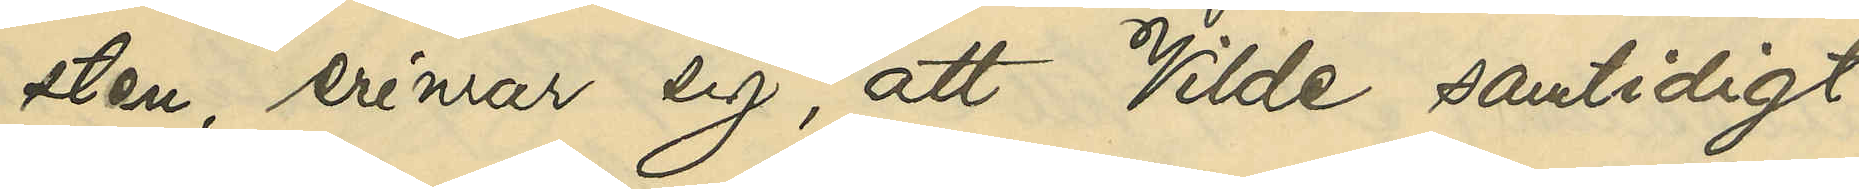sten, erinrar sig att Vilde samtidigt
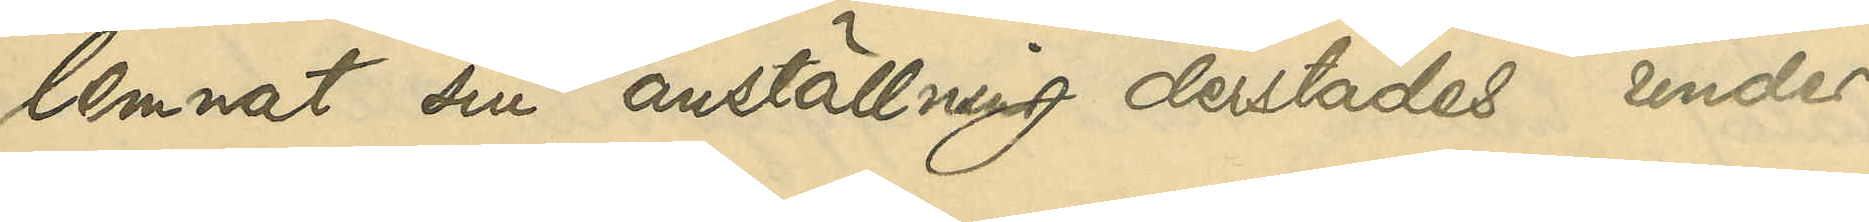lemnat sin anställning derstädes under
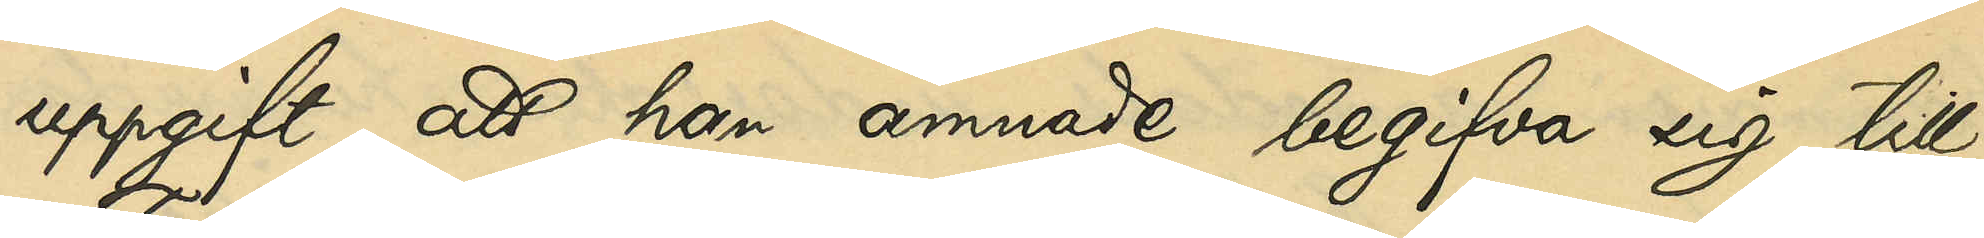uppgift, att han ämnade begifva sig till
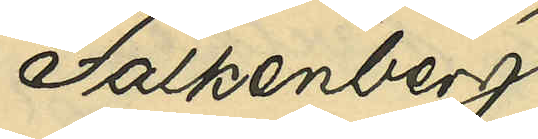Falkenberg.
